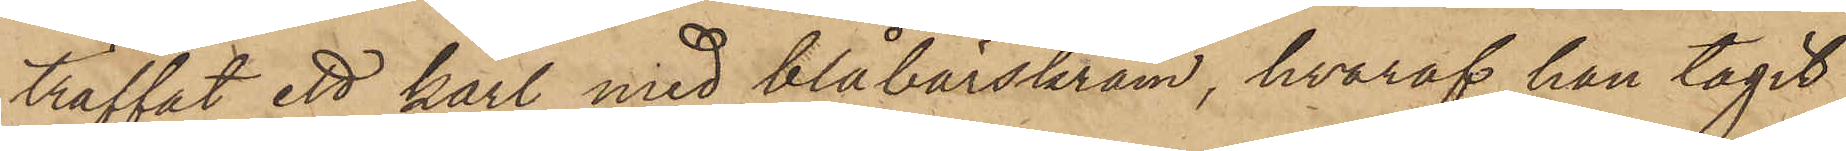träffat ett kärl med blåbärskräm, hvaraf han tagit
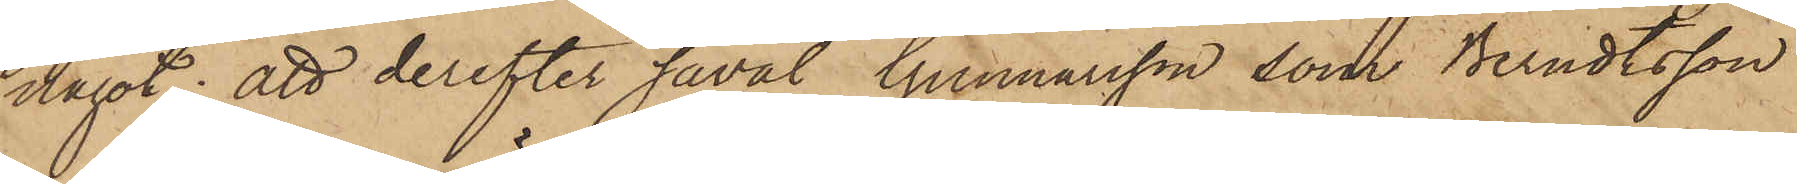något; att derefter såväl Gunnarsson som Berndtsson
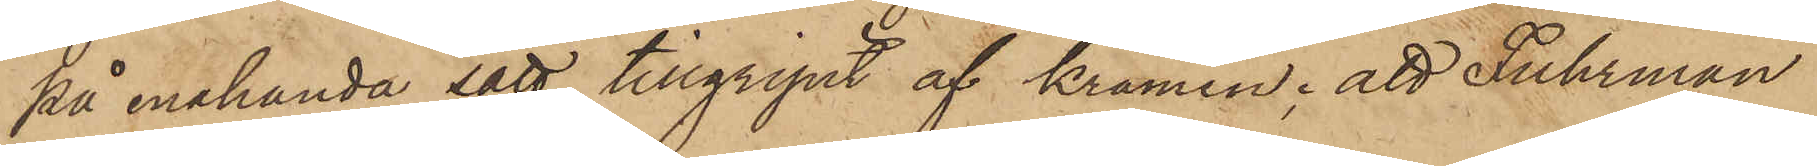på enahanda sätt tillgripit af krämen; att Fuhrman
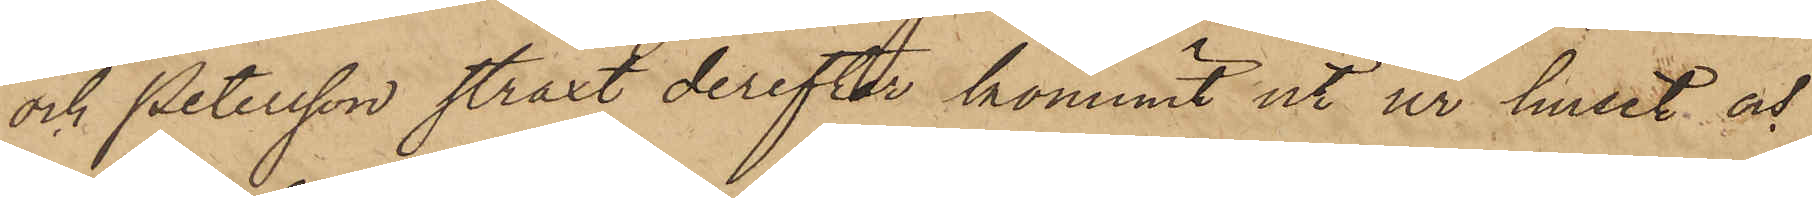och Petersson straxt derefter kommit ut ur huset och
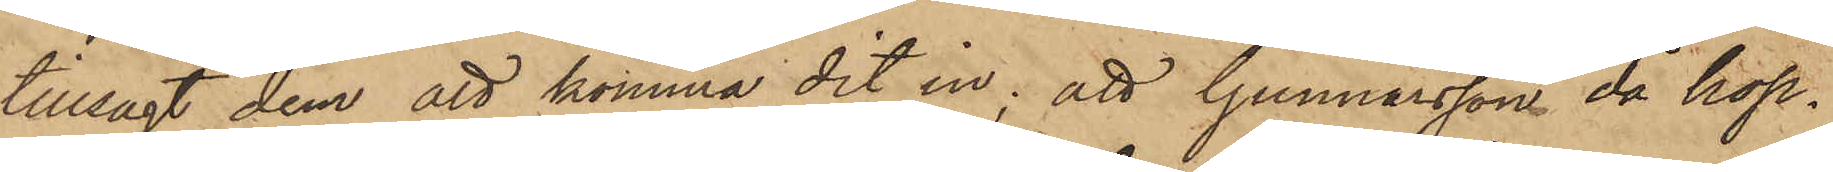tillsagt dem att komma dit in; att Gunnarsson då hop¬
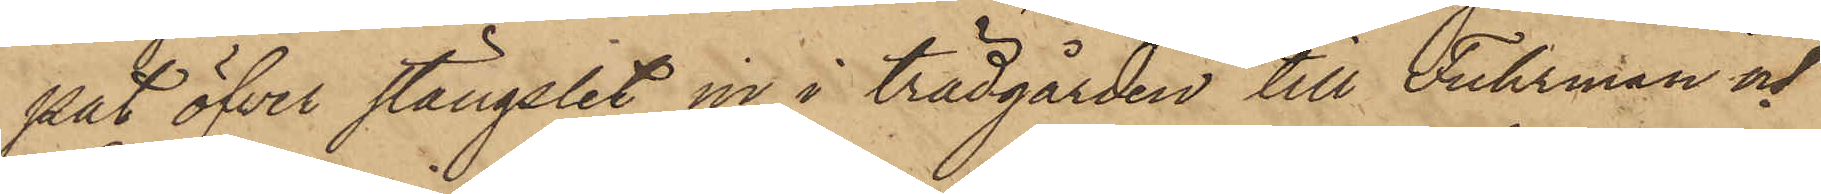pat öfver stängslet in i trädgården till Fuhrman och
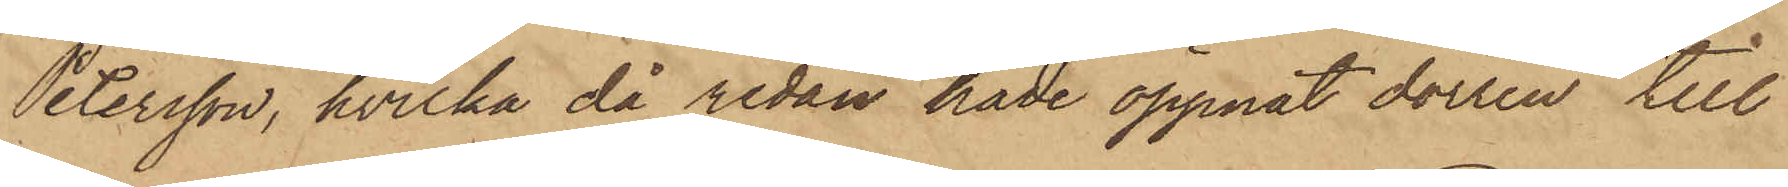Petersson, hvilka då redan hade öppnat dörren till
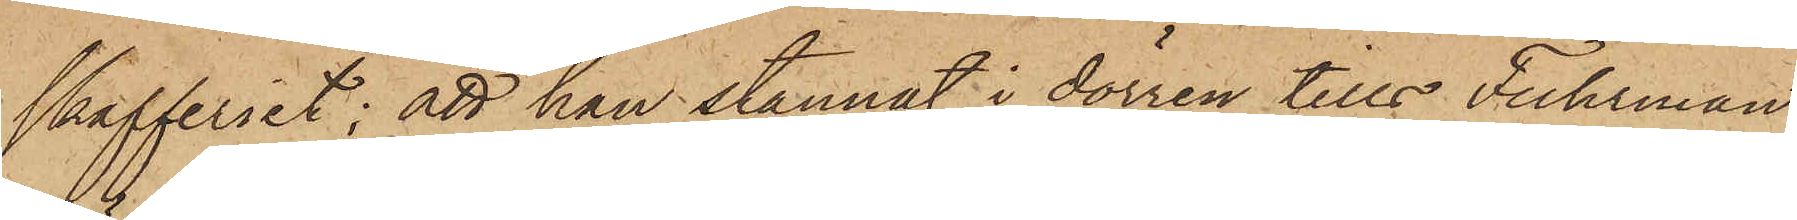skafferiet; att han stannat i dörren tills Fuhrman
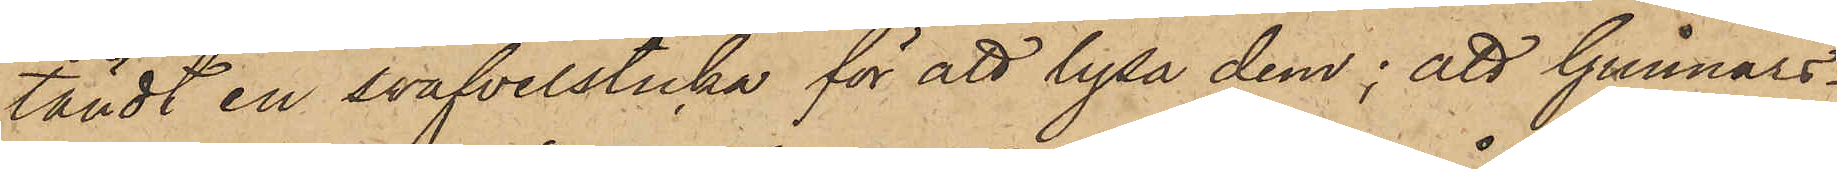tändt en svafvelsticka för att lysa dem; att Gunnars¬
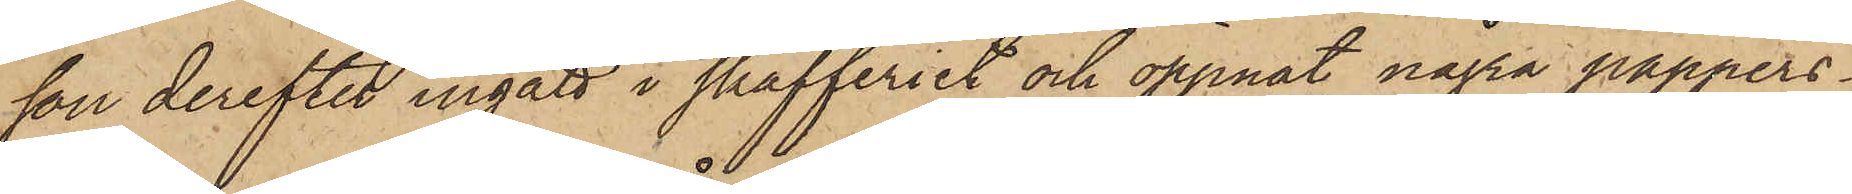son derefter ingått i skafferiet och öppnat några pappers¬
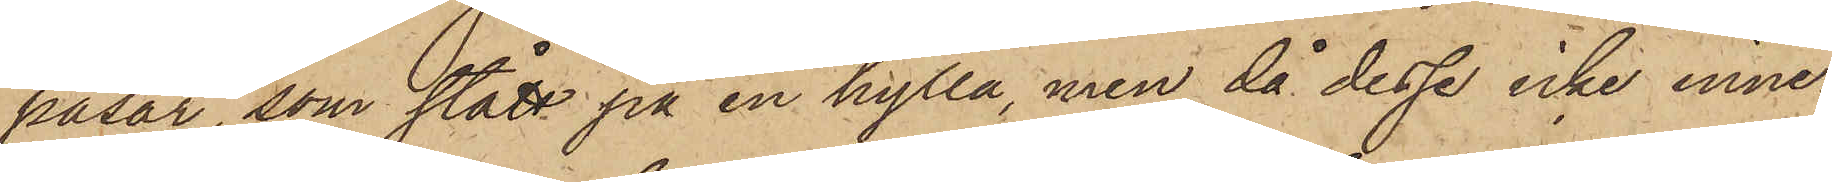påsar, som stått på en hylla, men då dessa icke inne¬
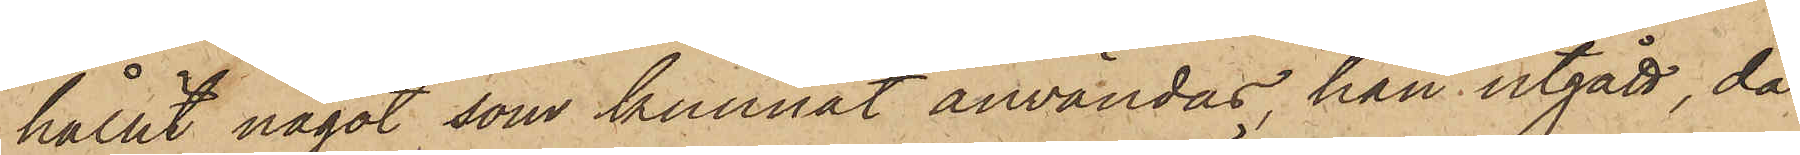hållit något som kunnat användas han utgått, då
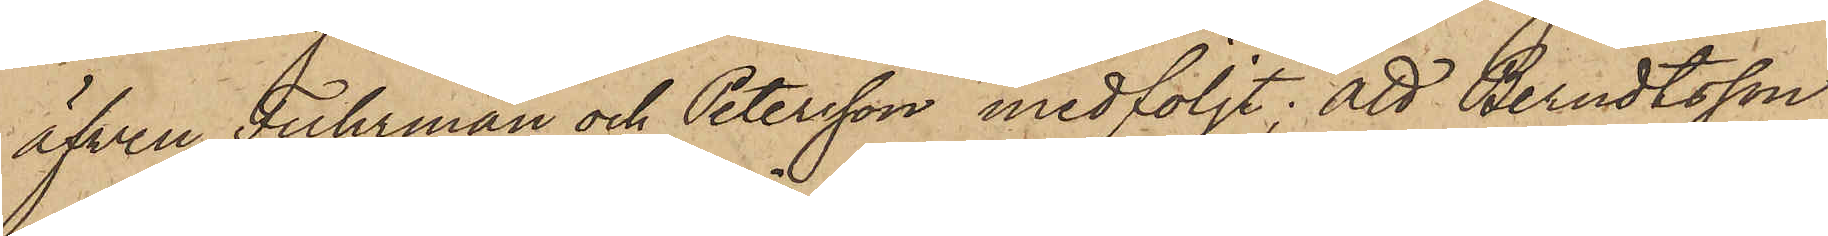äfven Fuhrman och Petersson medföljt; att Berndtsson
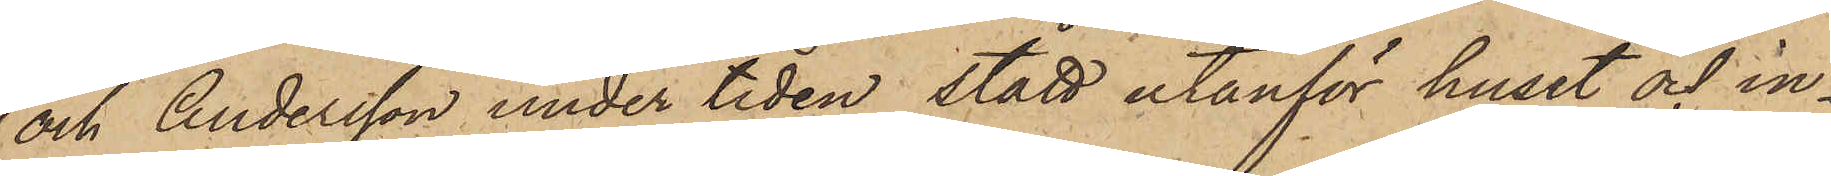och Andersson under tiden stått utanför huset och in¬
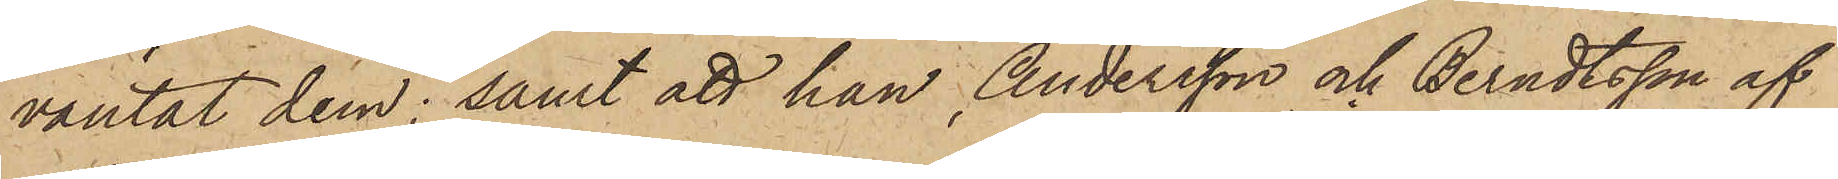väntat dem; samt att han, Andersson och Berndtsson af
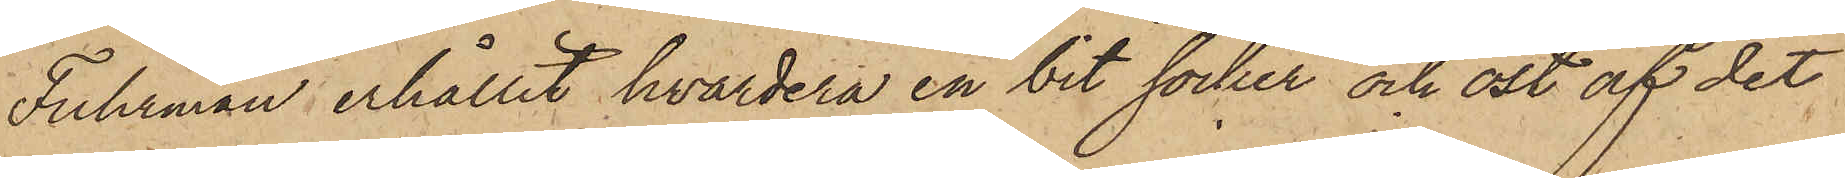Fuhrman erhållit hvardera en bit socker och ost af det
